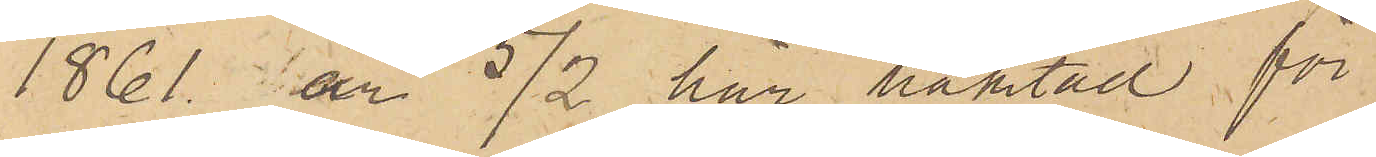1861 är 5/2 här häktad för
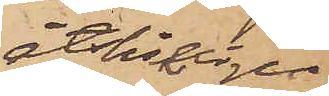åtskillige
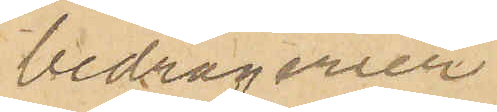bedrägerier.
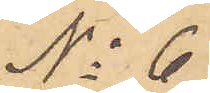No 6
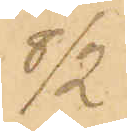8/2
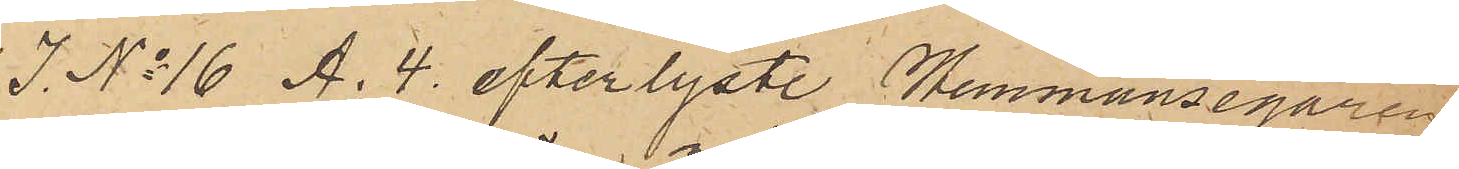I No 16 A. 4. efterlyste Hemmansegaren
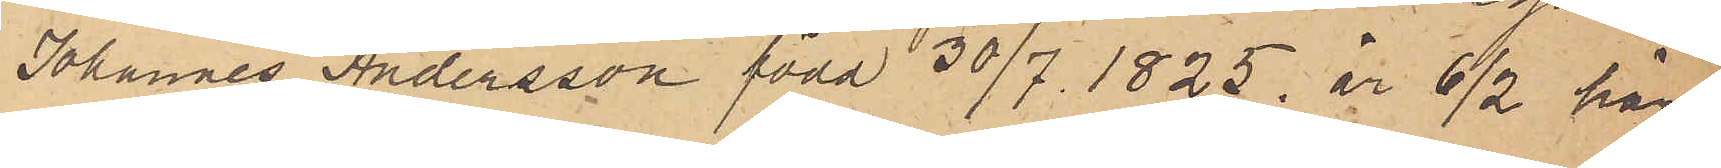Johannes Andersson född 30/7 1825. är 6/2 här
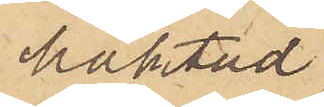häktad.
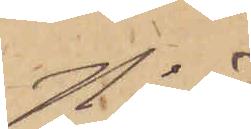No 7
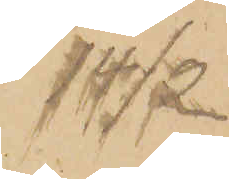14/2.
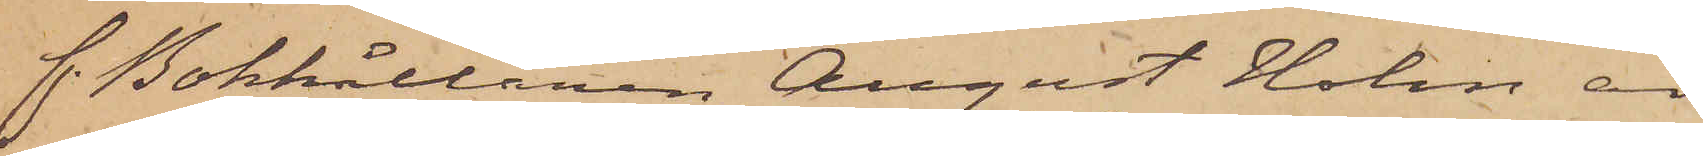f. Bokhållaren August Holm är
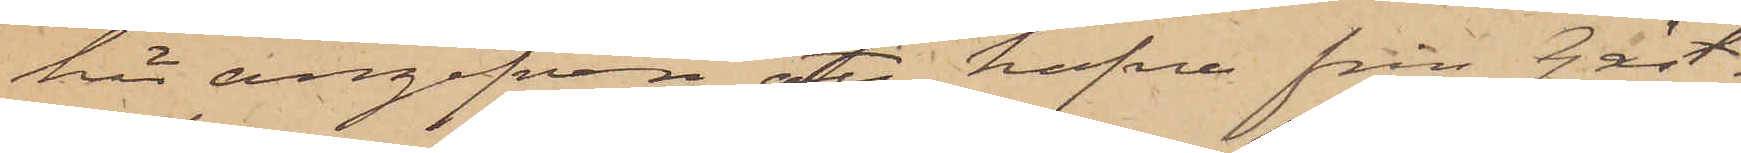här angifven att hafva från Gäst¬
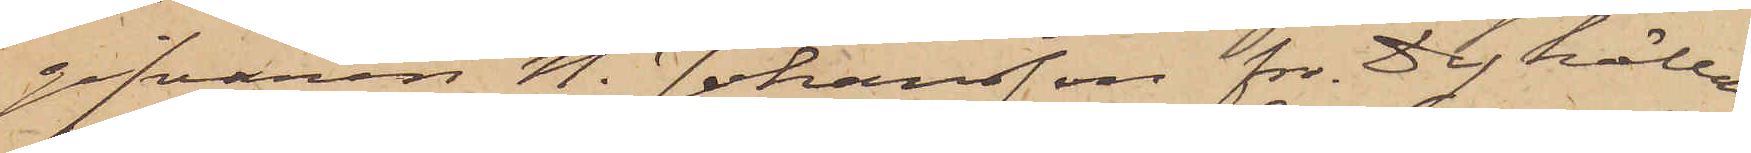gifvaren N. Johansson fr. Dykällan
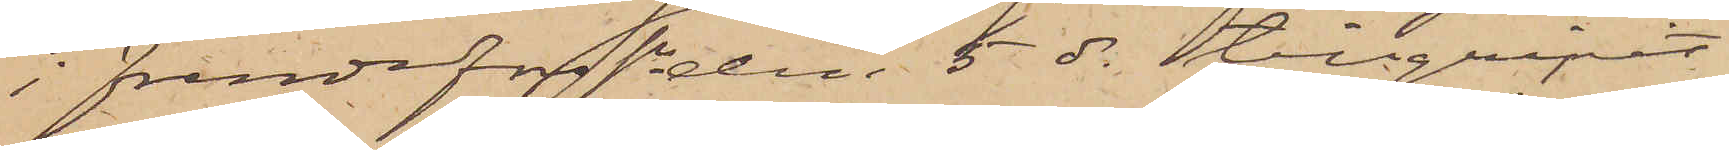i Frendefors sn den 5 ds tillgripit
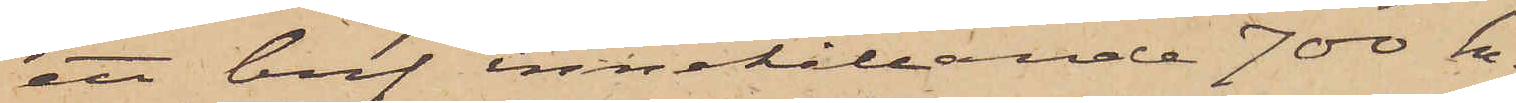ett bref innehållande 700 kr.
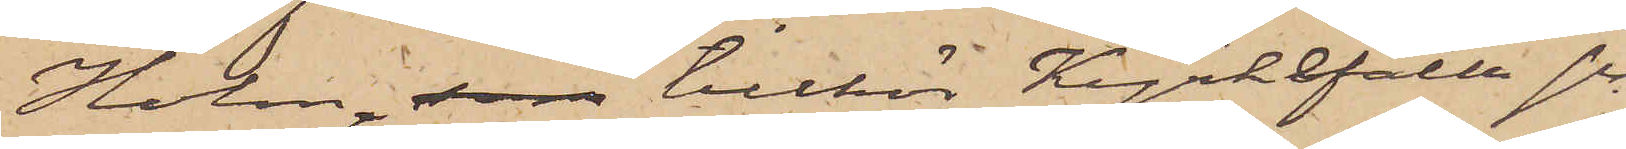Holm, som tillhör Kyrkefalla sn
